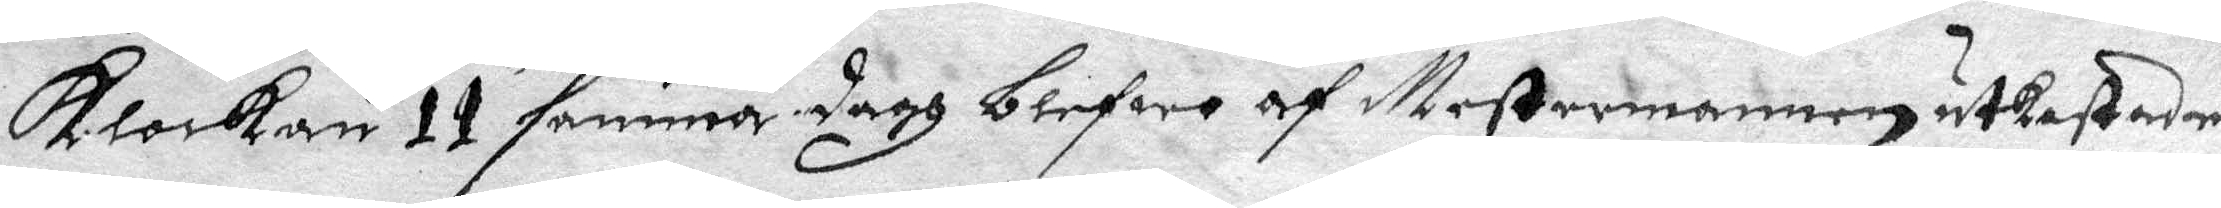Klockan 11 samma sagh blefwo af Mestermannen utkastader
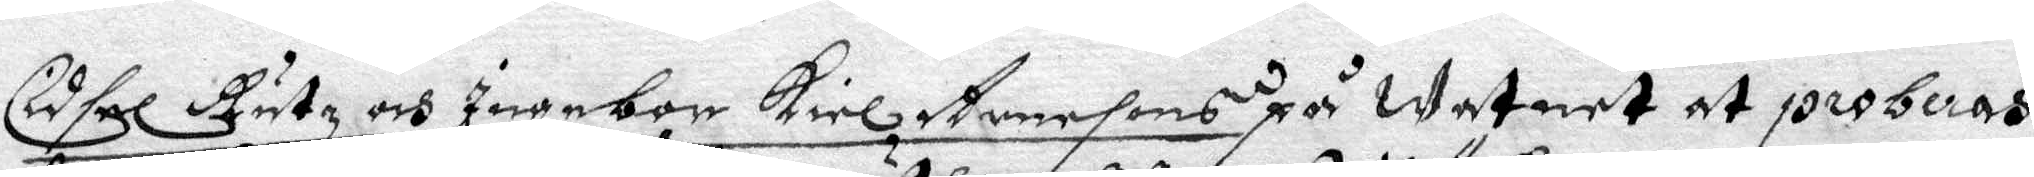Cidsel Rutz och Ingebor Keil Arnesons på watnet at proberas,
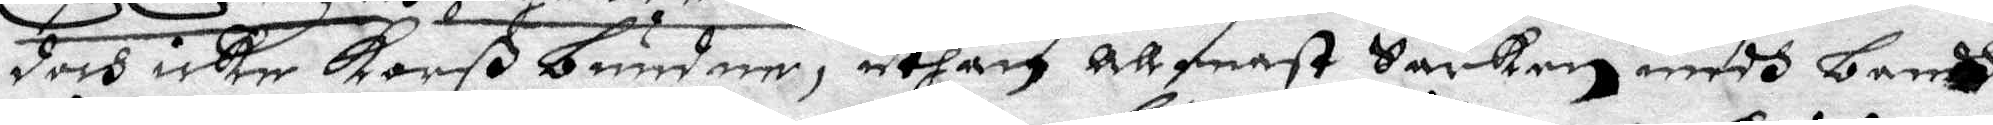doch icke Korß bunden, uthan Allenast Särken medh bandh
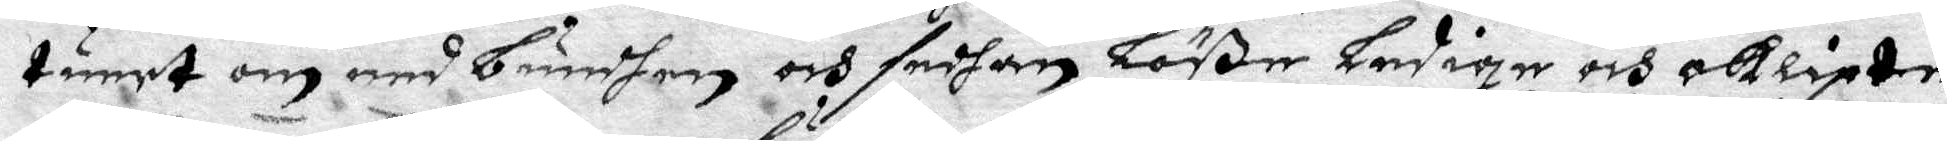tunet om med bundhen och sedhan Löße ledige och oklipte
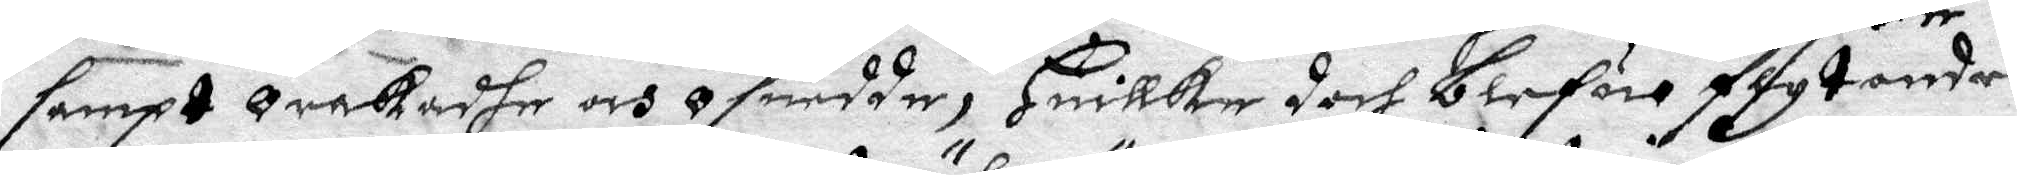sampt Orakadhe och Osurdde, Huillke doch blefue flytandes
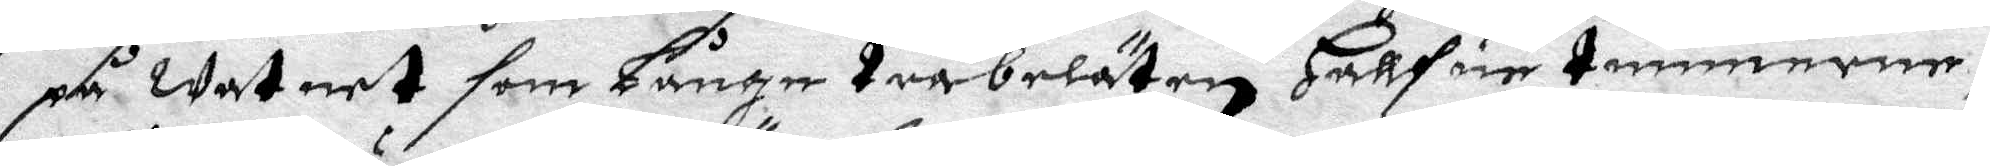på watnet som Långe träbeläten Hallfue timmeren,
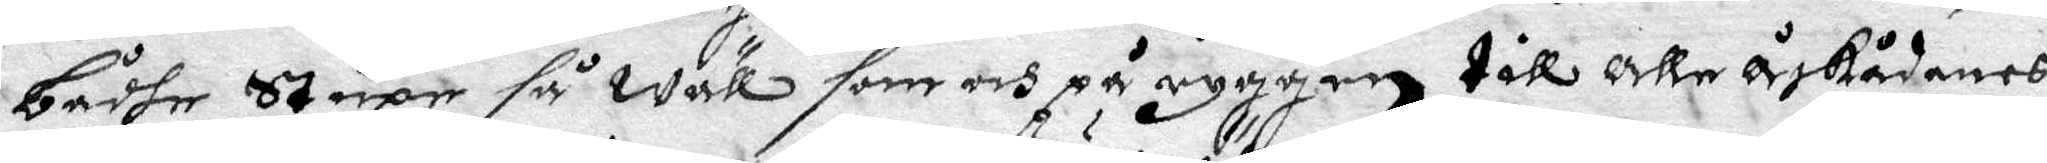bådhe Stupe så wäll som och på ryggen till Alle Åskådanes
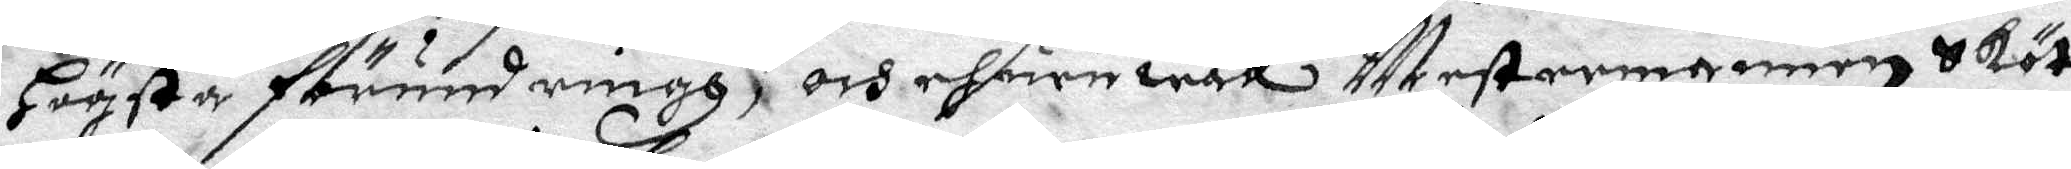Högsya Förundringh, och ehuruwäll Mestermannen Sköt
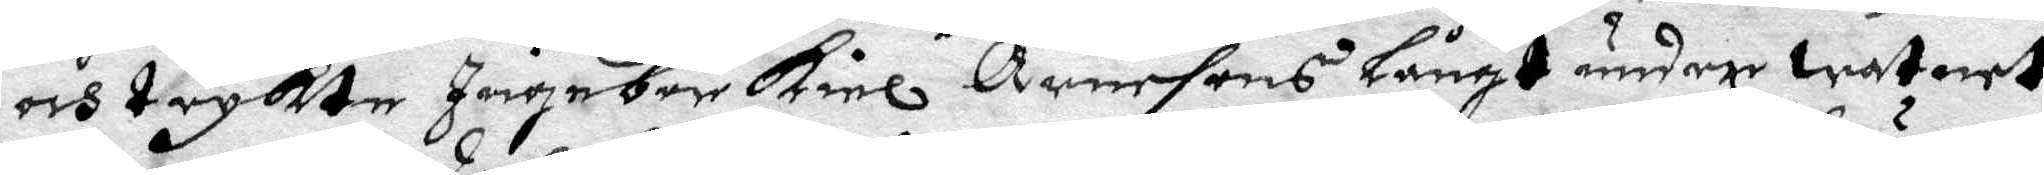och tryckte Ingebor Kiel Arnesons Långt under watnet
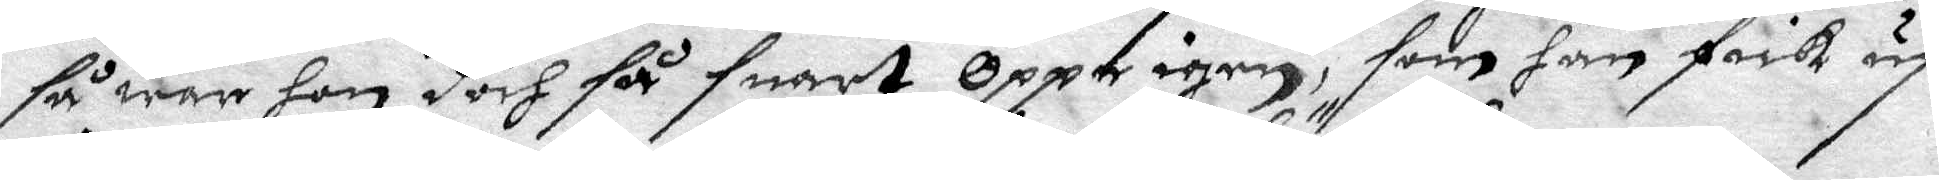så war hon doch så  snart oppe igen, som han fick up
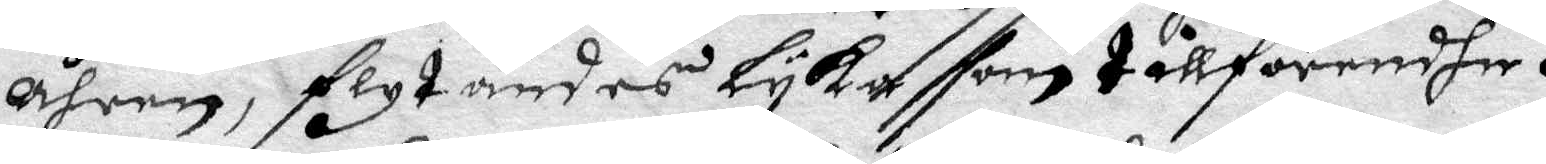Åhran, flytandes Lyka som tillförendhe.
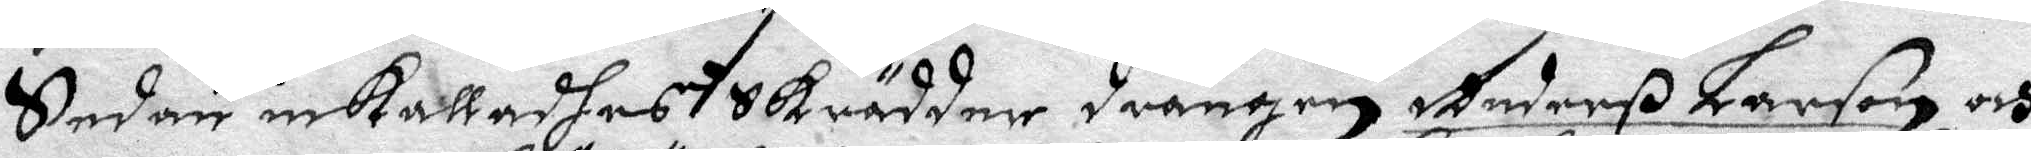Sedan inkalladhes Skräddar Drängen Anderß Larson och
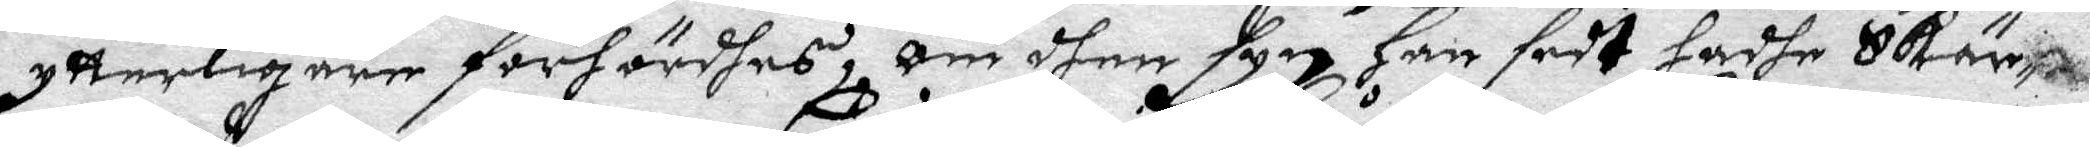ytterligare förhördhes, om dhen syn Han fådt hadhe Skär¬
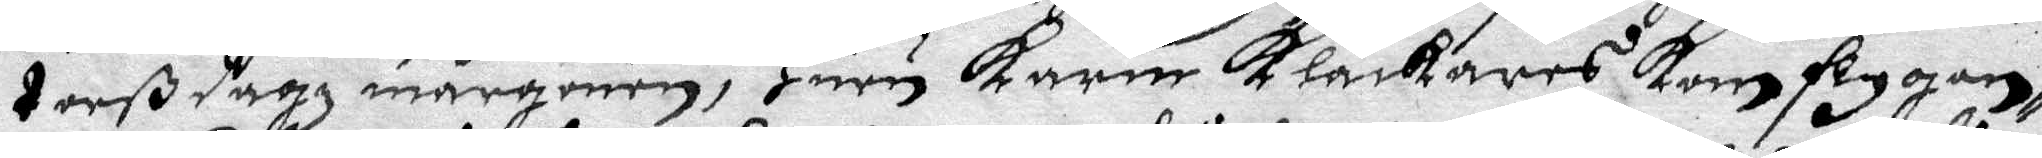torßdagh mårgonen, Huru Karin Klåckares kom flygan¬
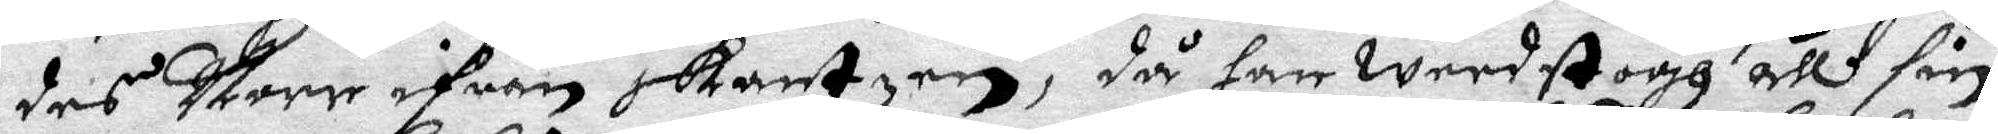des Norr ifrån Skantzen, då han weedstogh all sin
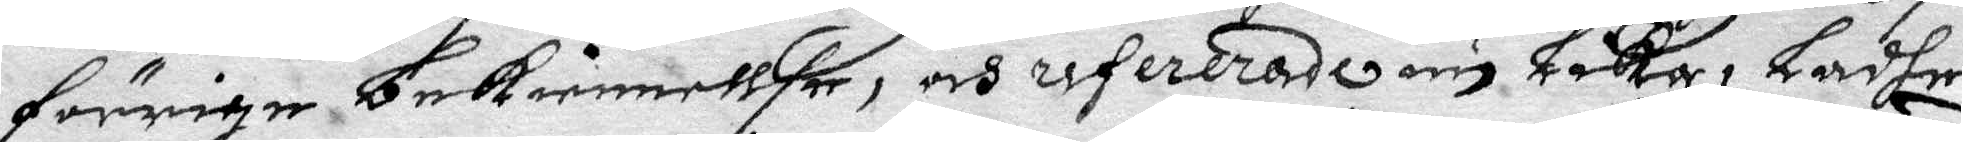förrige bekiennellse, och refererade nu Låka, Ladhe
